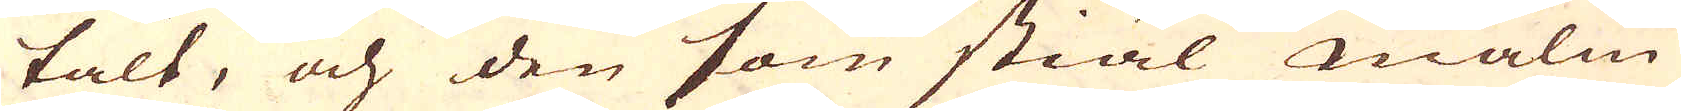talt, och den som stiäl malm
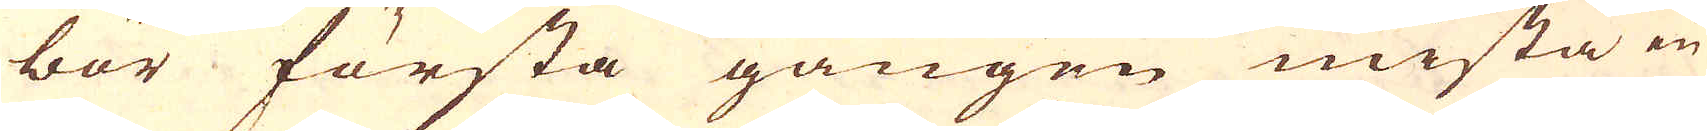bör första gången mista en
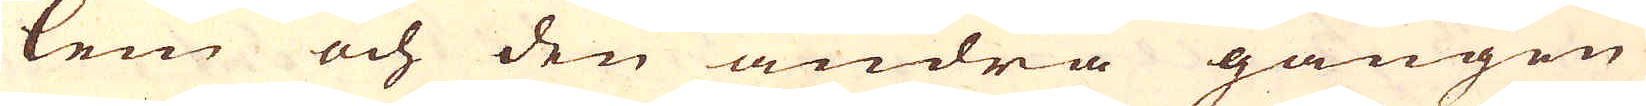lem och den andra gången
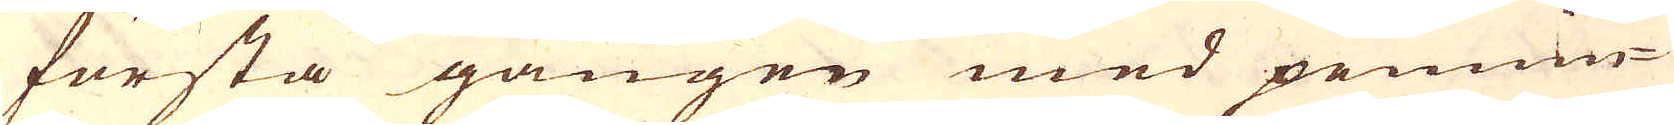första gången med pennin-
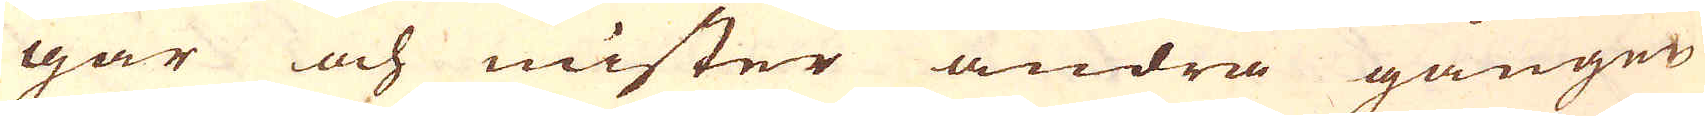gar och mister andra gången
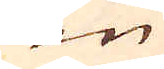en
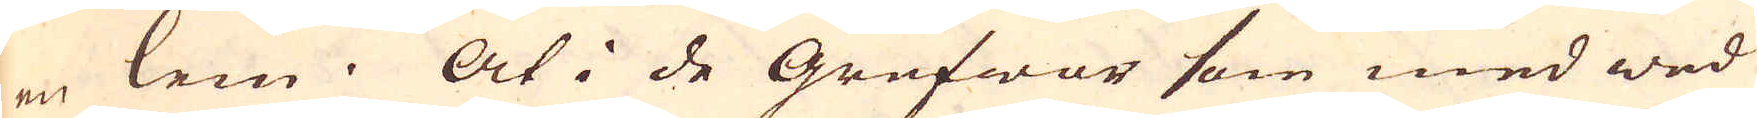en lem. At i de Grufwor som med wed
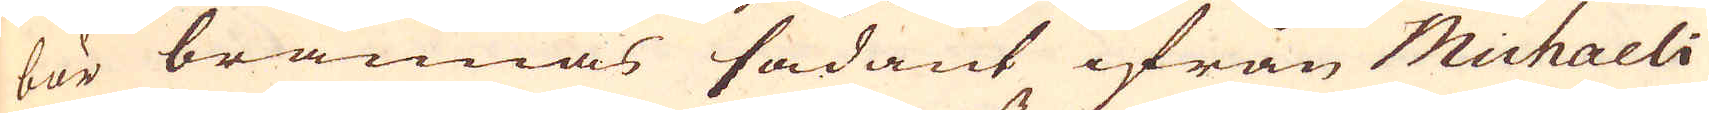bör brännas sådant ifrån Michaeli
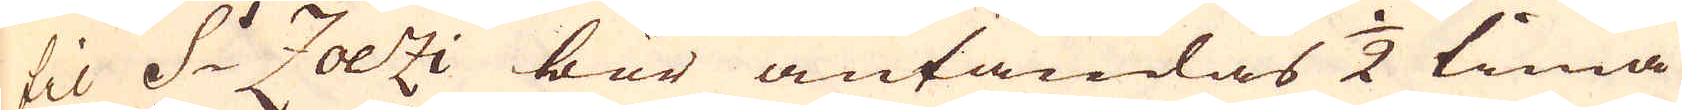til S:t Zoezi bör antändas 1/2 tima
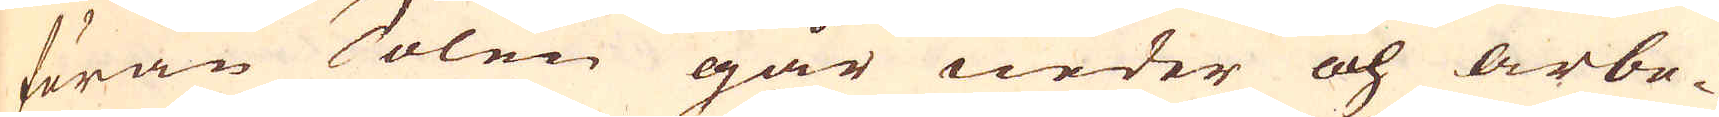förän Solen går neder och arbe-
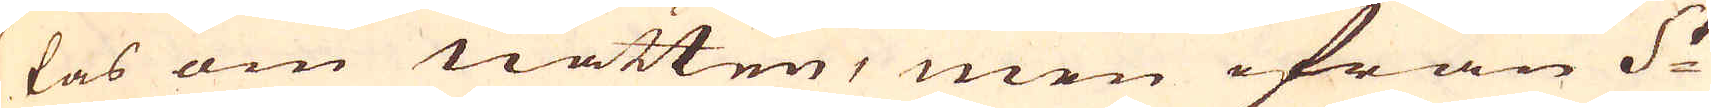tas om natten, men ifrån S:t
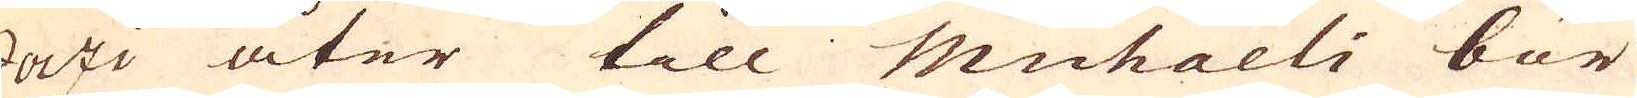Zoezi åter till Michaeli bör
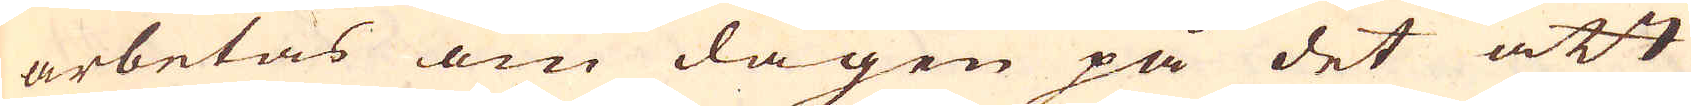arbetas om dagen på det att
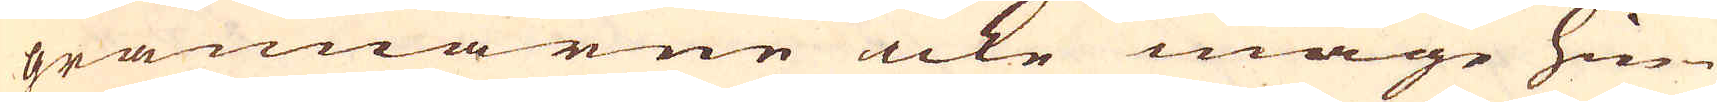grannarne icke måge hin-
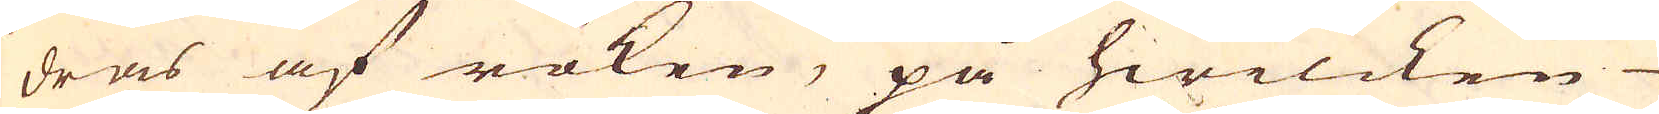dras af röken, på hwilcken
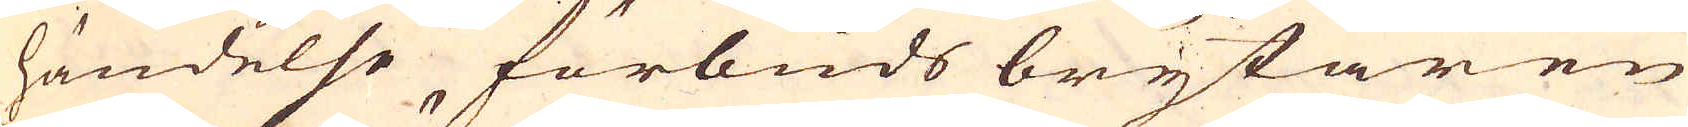händelse, förbuds brytaren
